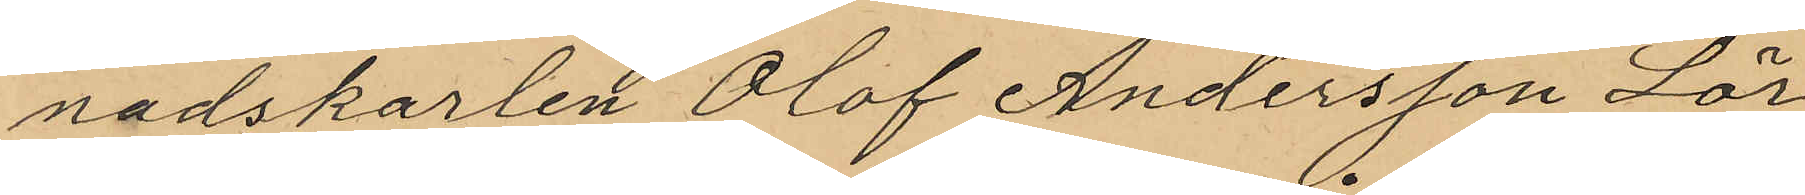nadskarlen Olof Andersson Lör¬
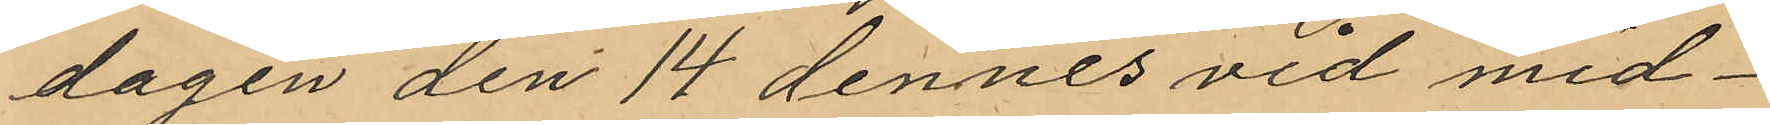dagen den 14 dennes vid mid¬
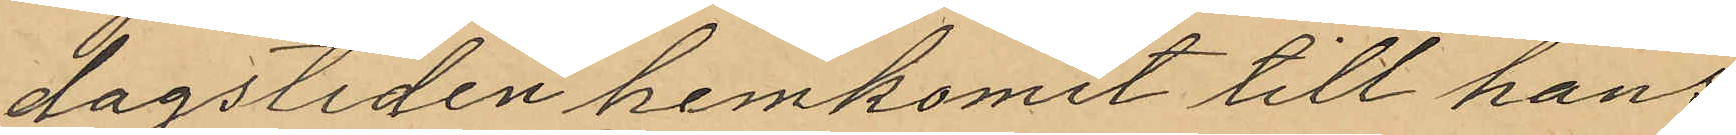dagstiden hemkomit till hans
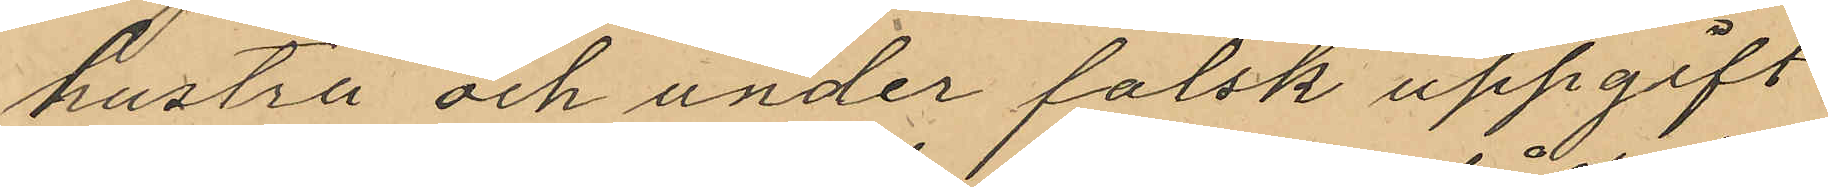hustru och under falsk uppgift
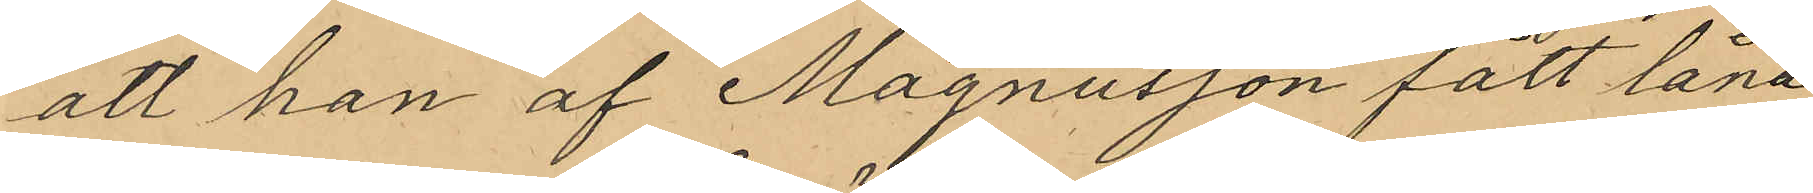att han af Magnusson fått låna
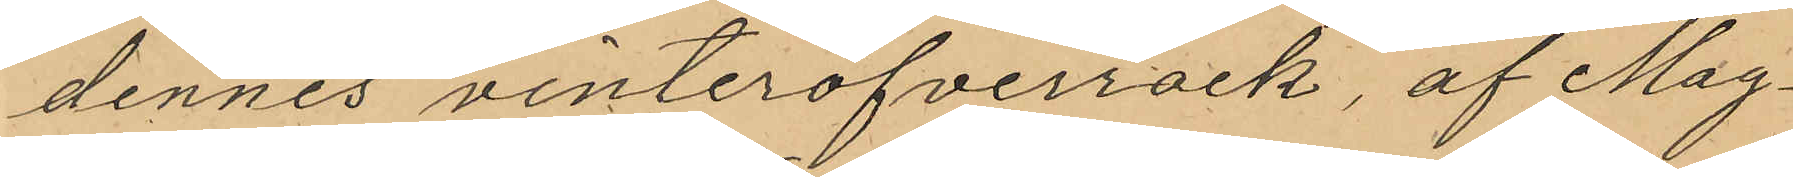dennes vinteröfverrock, af Mag¬
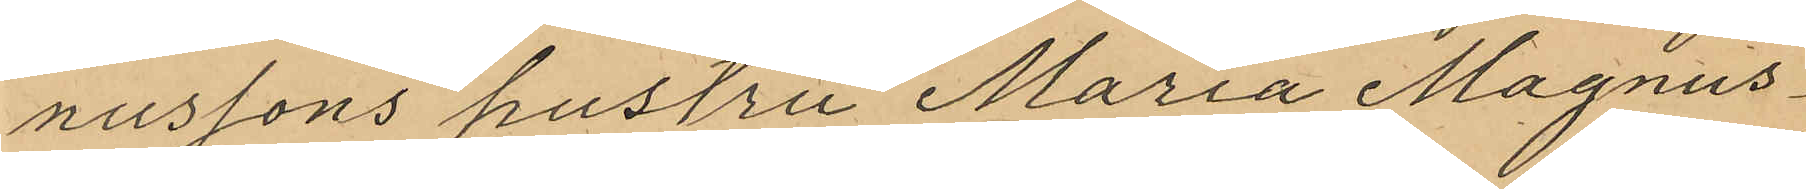nussons hustru Maria Magnus¬
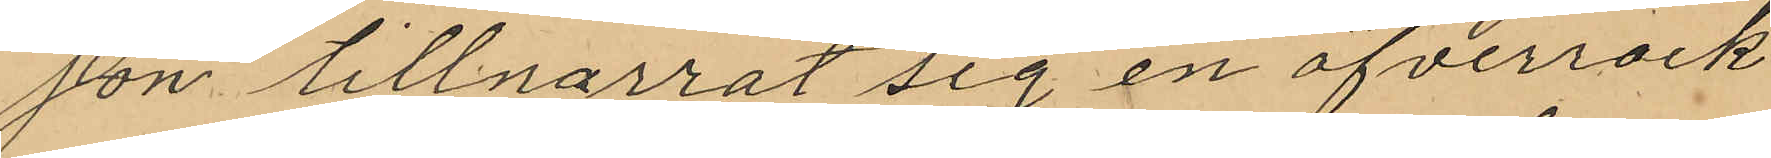son tillnarrat sig en öfverrock
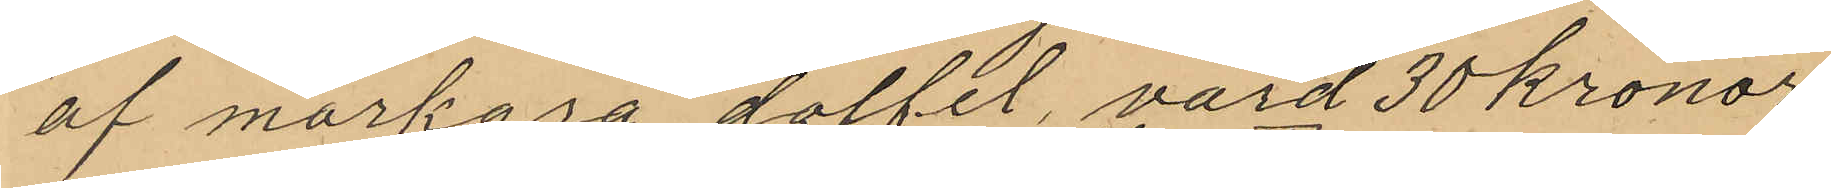af mörkgrå doffel, värd 30 kronor.
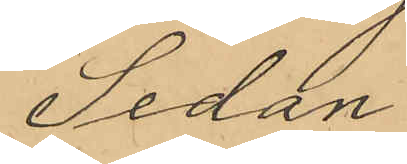Sedan
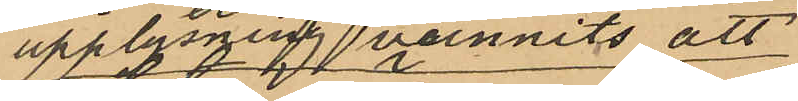upplysning vunnits att
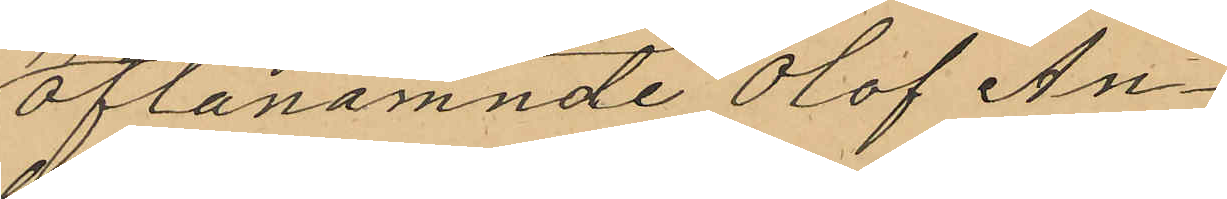oftanämnde Olof An¬
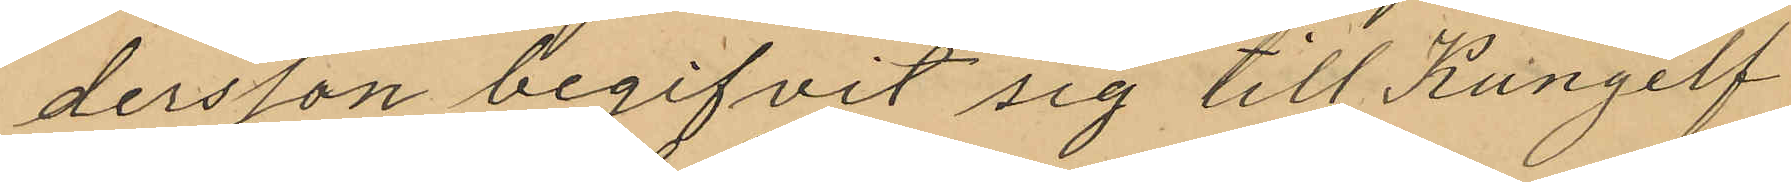dersson begifvit sig till Kungelf
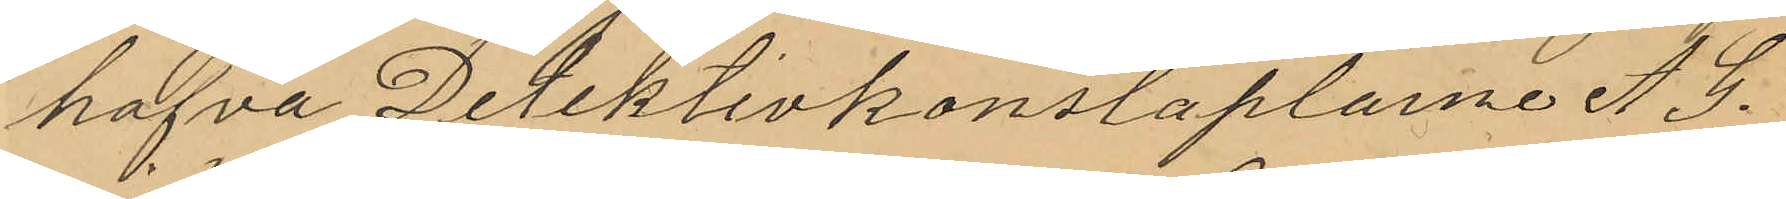hafva Detektivkonstaplarne A. G.
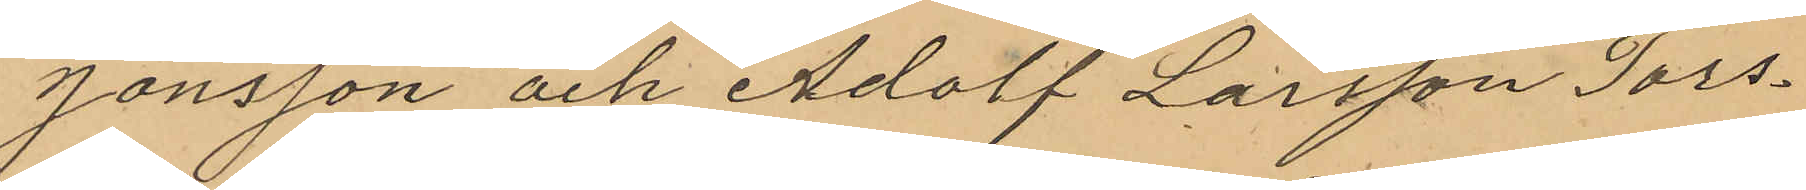Jönsson och Adolf Larsson Tors¬
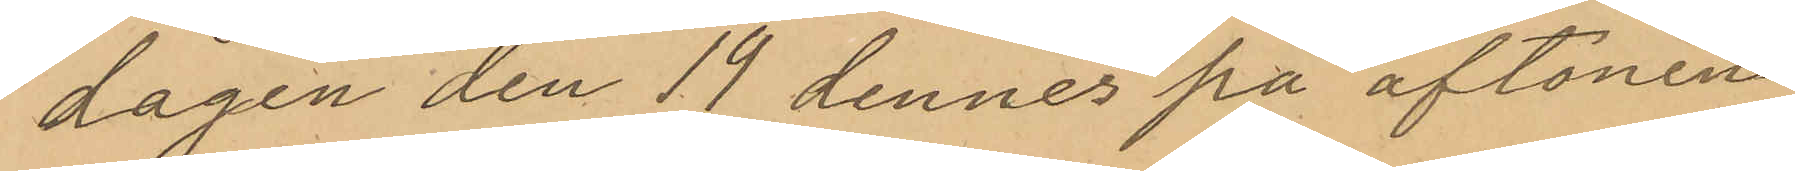dagen den 19 dennes på aftonen
